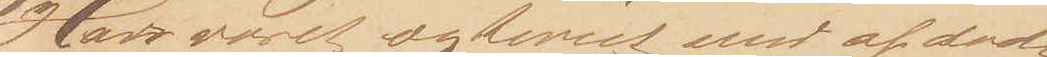Har været ægteviet med afdøde
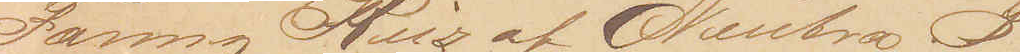Fanny Ruz af Neutra B,
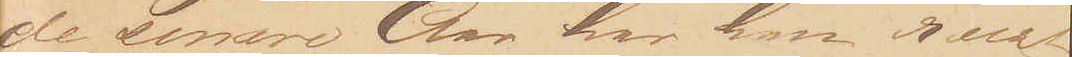de senere Aar har han reist
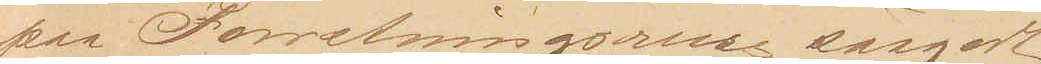paa Forretningsreise saagodt
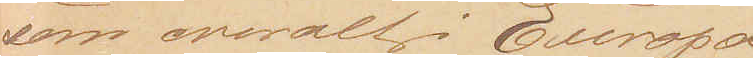som overalt i Europa
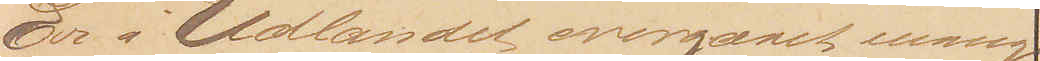Er i Udlandet overgaaet mange
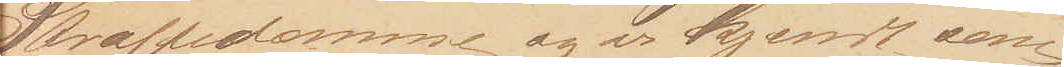Straffedomme og er kjendt som
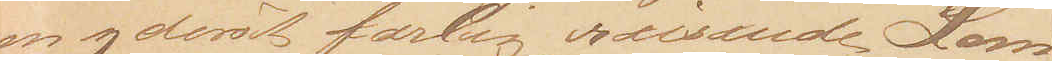en yderst farlig reisende Lom¬
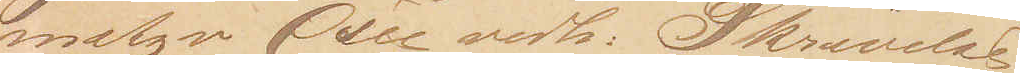metyv (see vedh: Skrivelse
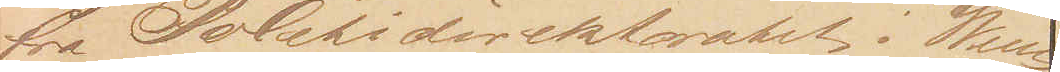fra Politidirektoratet i Wien)
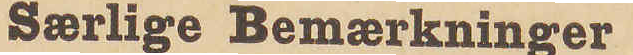Særlige Bemærkninger
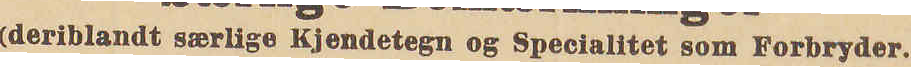(deriblandt særlige Kjendetegn og Specialitet som Forbryder.)
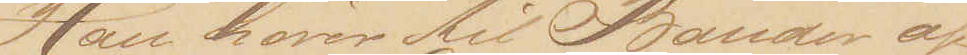Han hører til Banden af
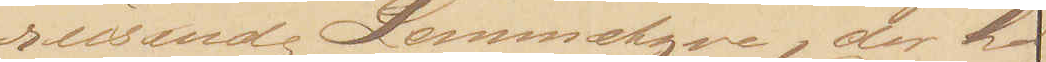reisende Lommetyve, der hø¬
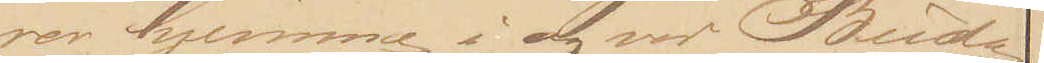rer hjemme i og ved Buda¬
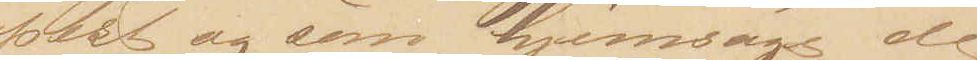pest og som hjemsøge de
